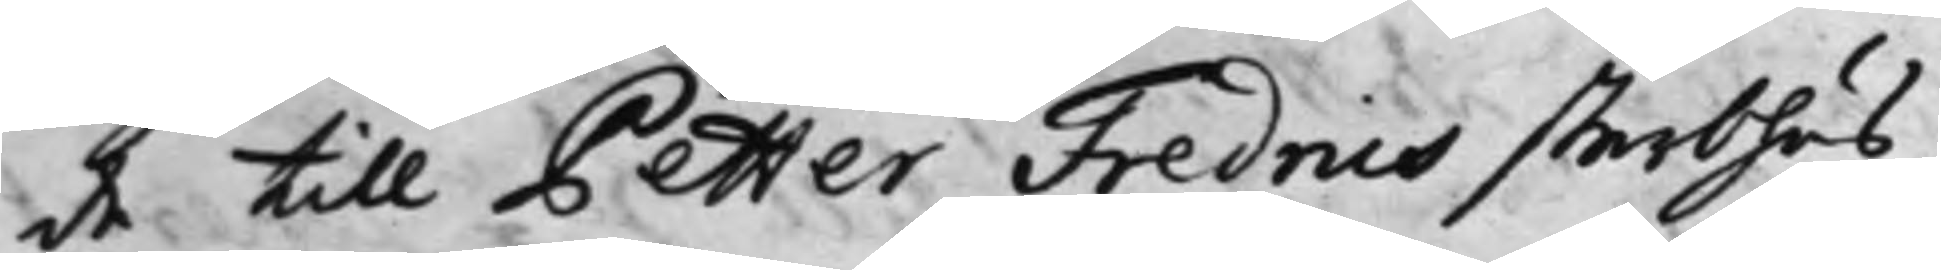de till Petter Fredrics sterbhus,
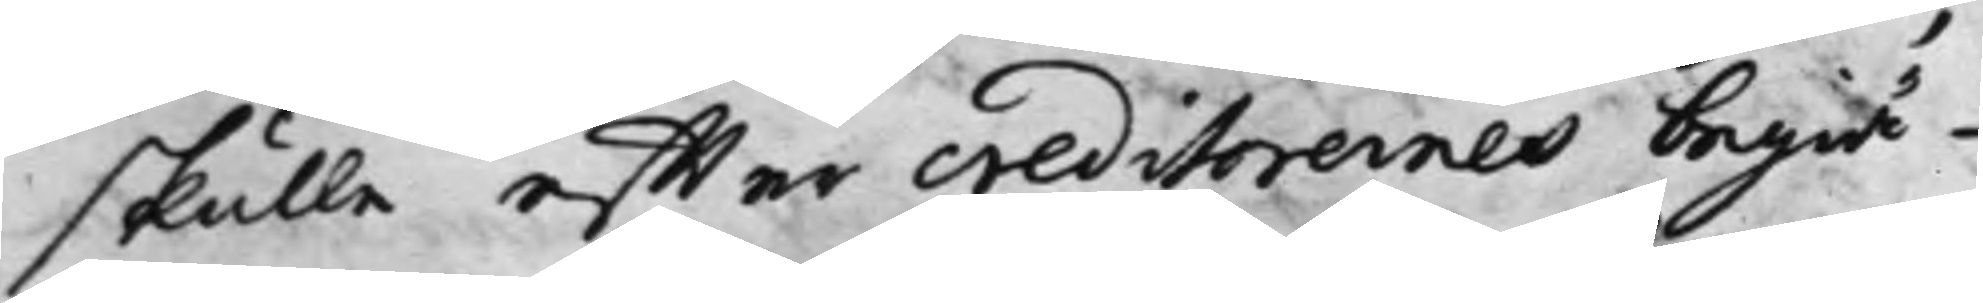skulle effter creditorernes begiä¬
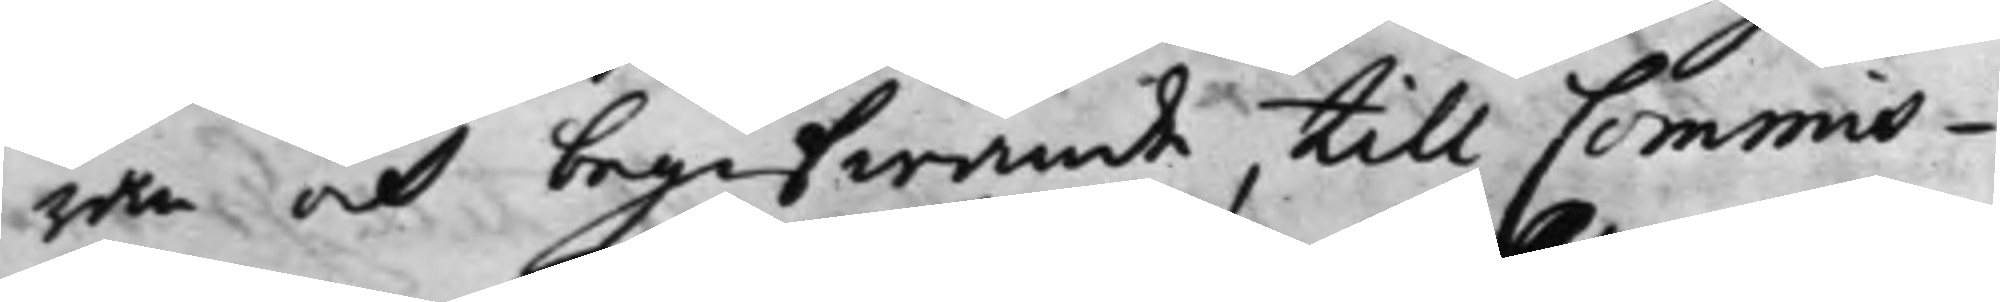ran och begifwande till Commis¬
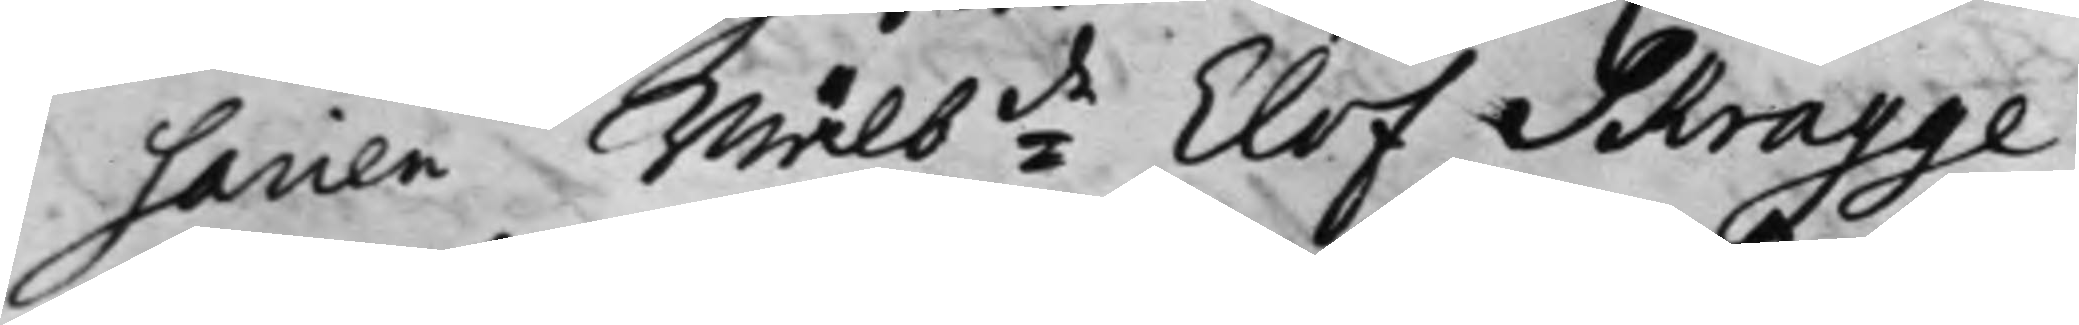sarien Wälb:de Elof Skragge
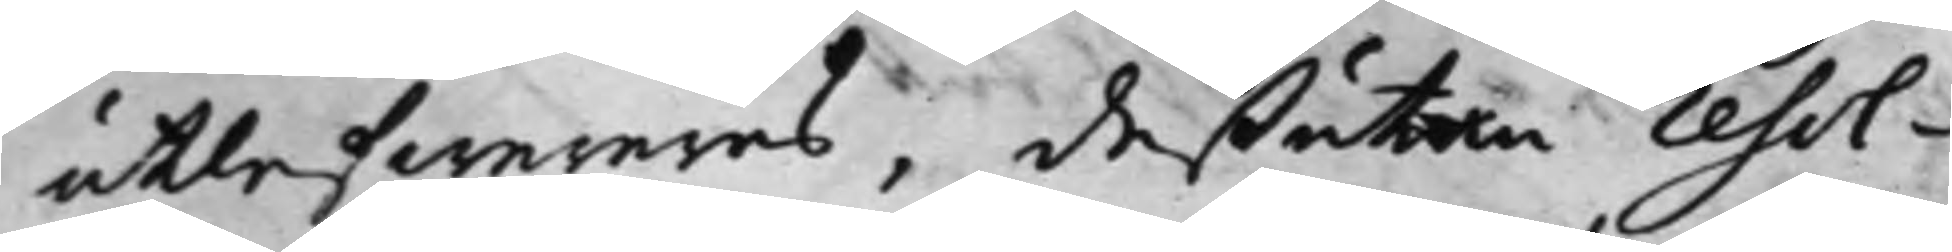utlefwereras, deßutan resol¬
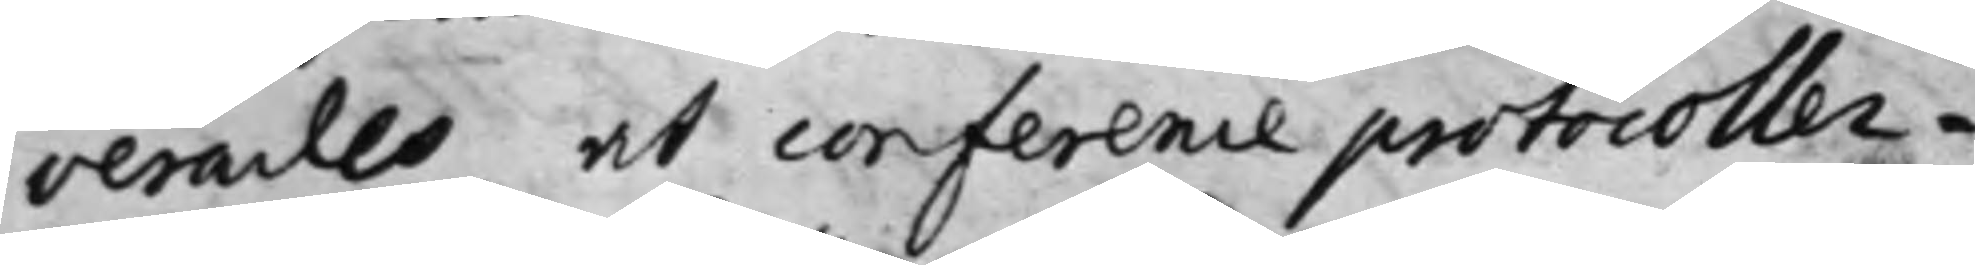verades, at conference protocoller¬
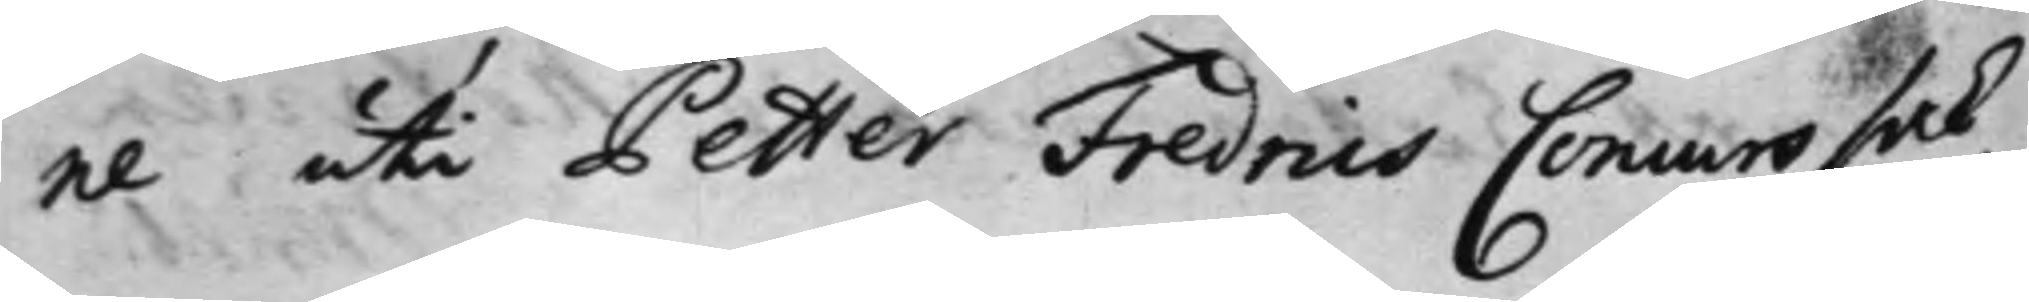ne uti Petter Fredrics Concurs sak,
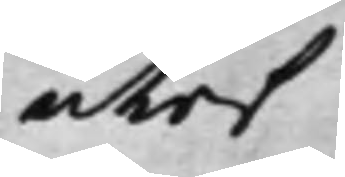utaf
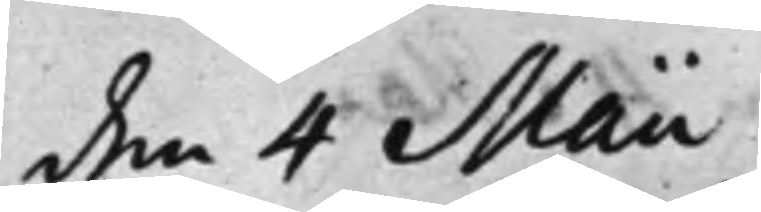den 4 Maii
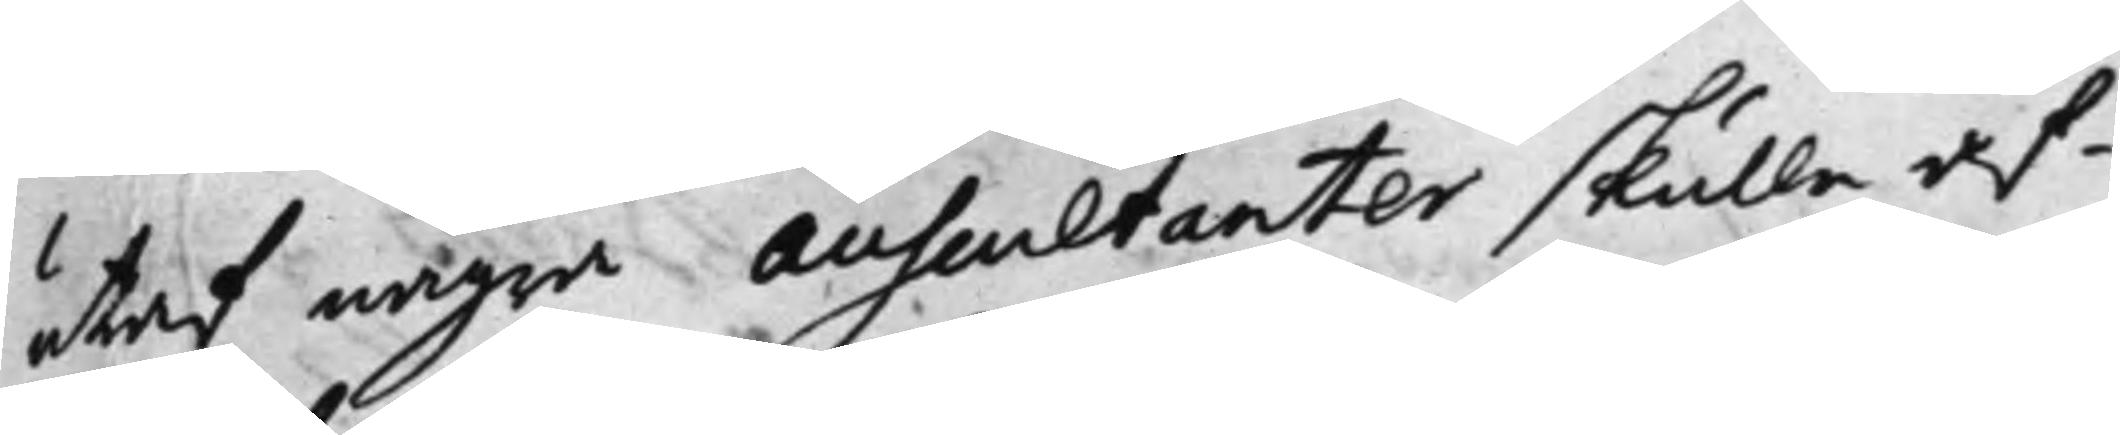utaf några Auscultanter skulle af¬
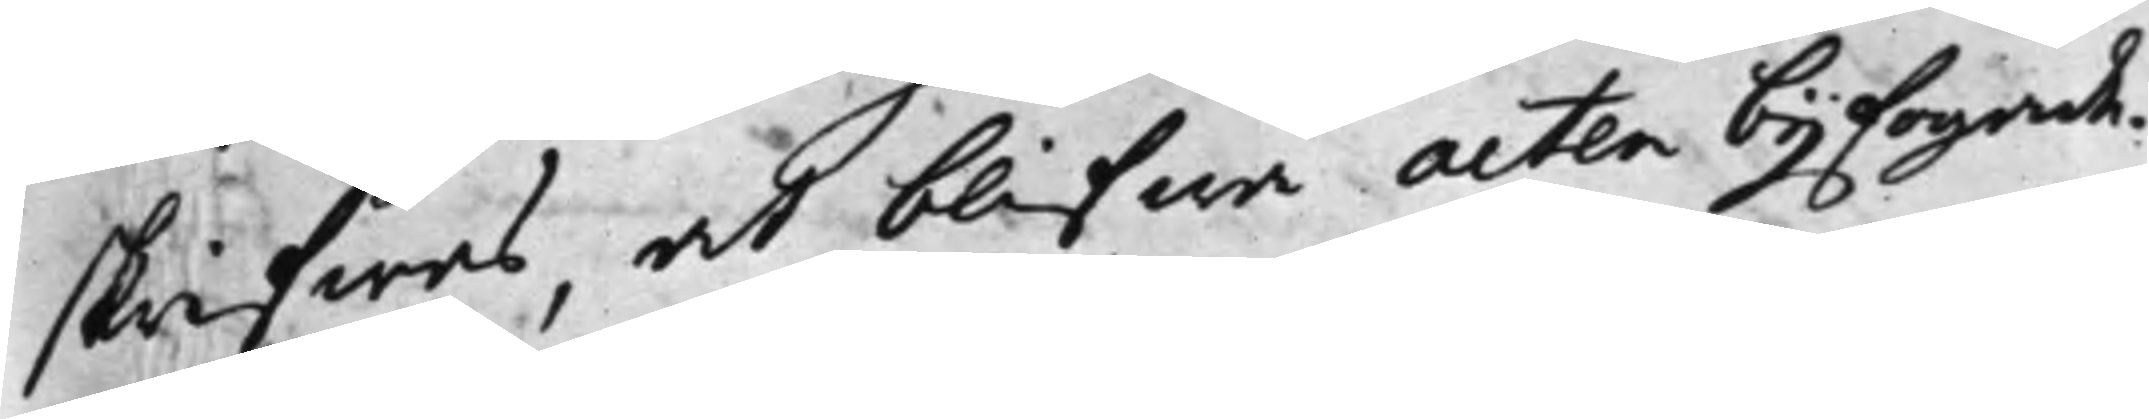skrifwas, at blifwa acten bijfogade.
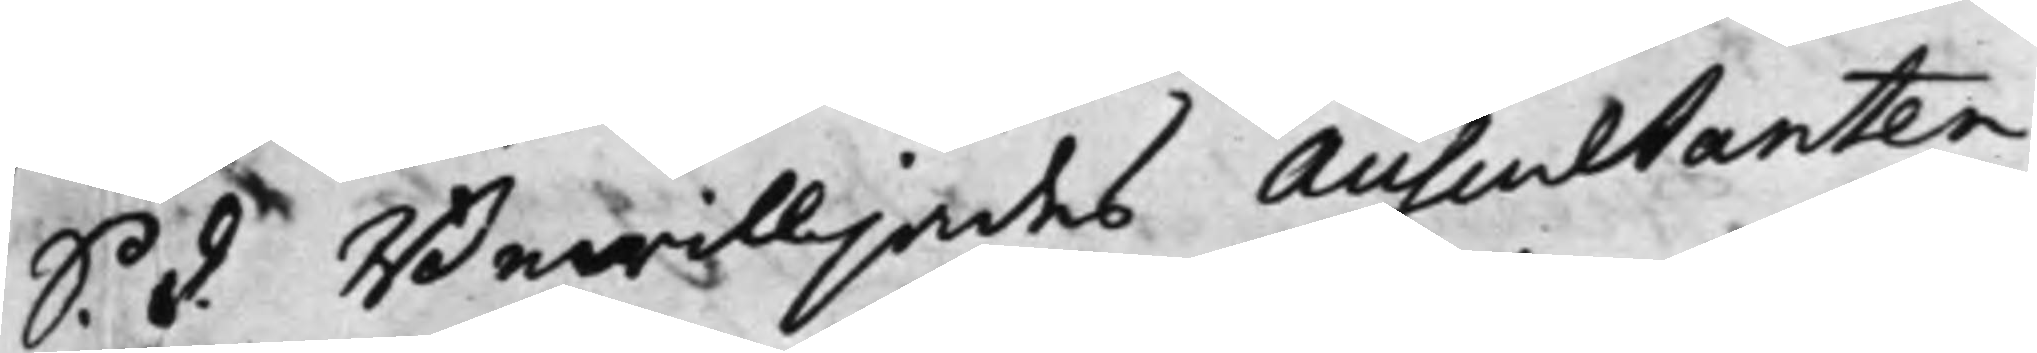S. d. Bewilljades Auscultanten
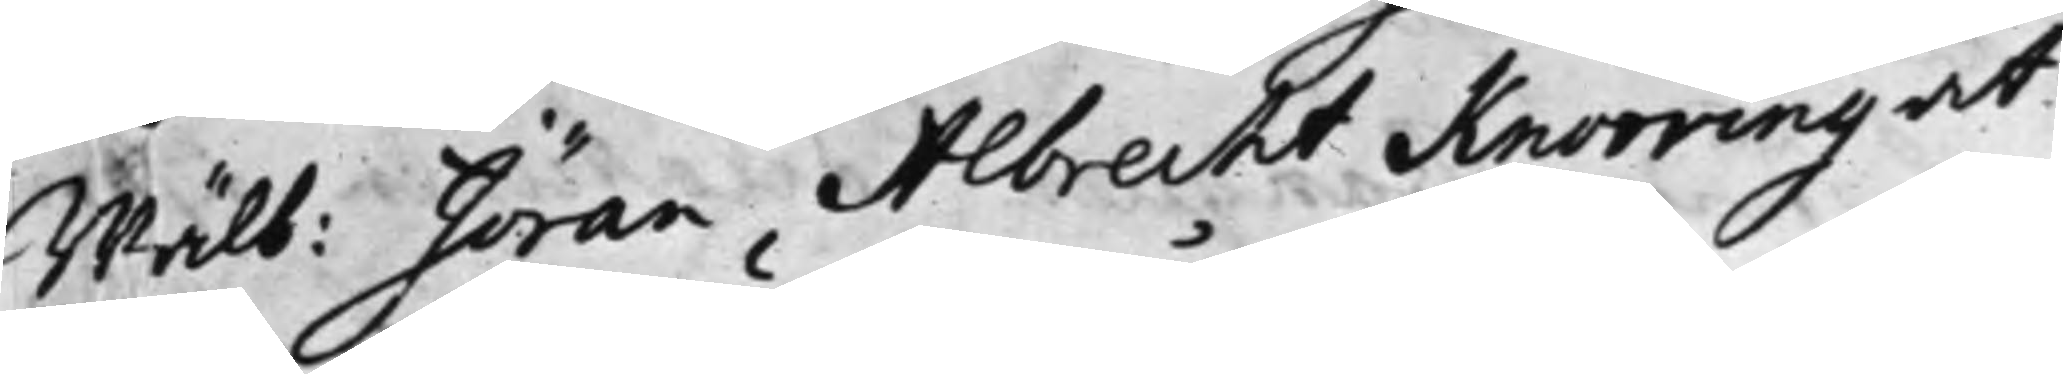Wälb: Jöran Albrecht Knorring at
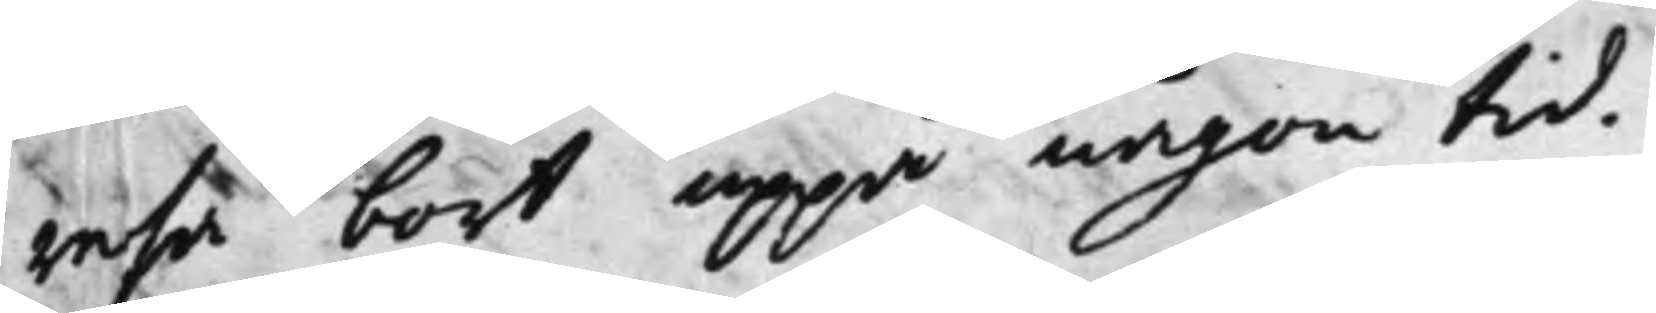resa bort uppå någon tid.
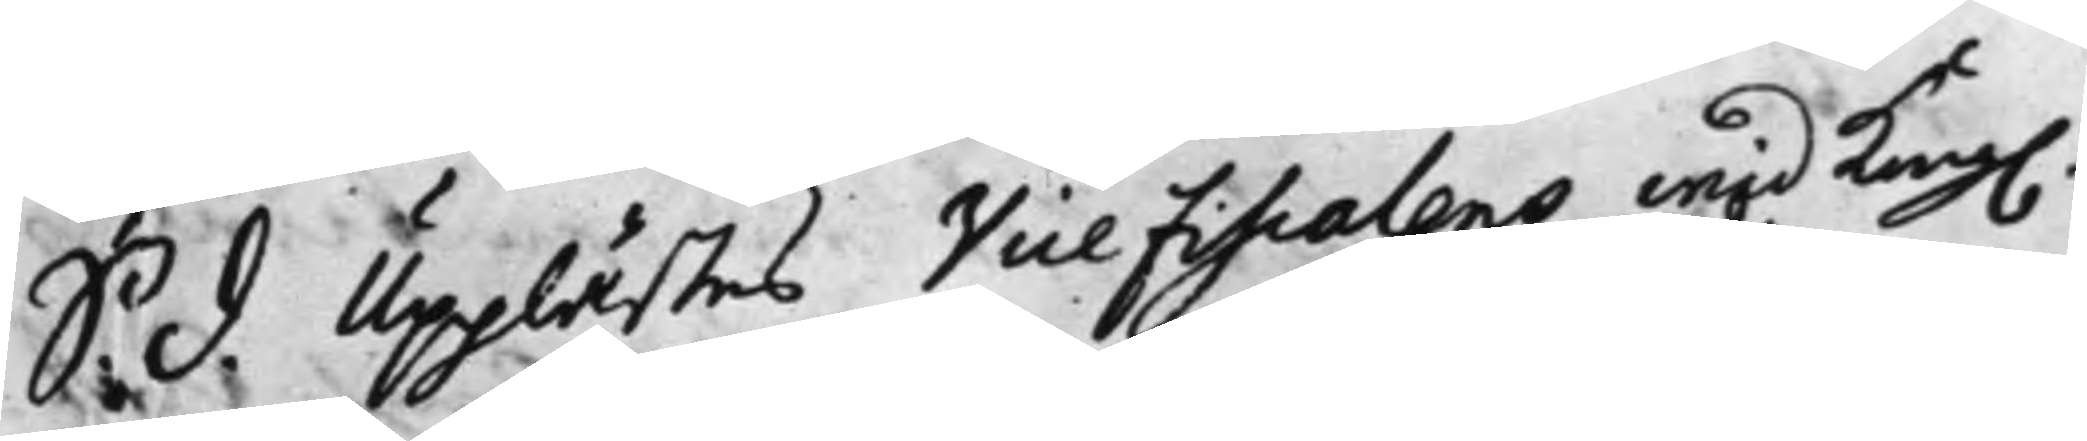S. d. Upplästes Vice Fiscalens wid Kong.
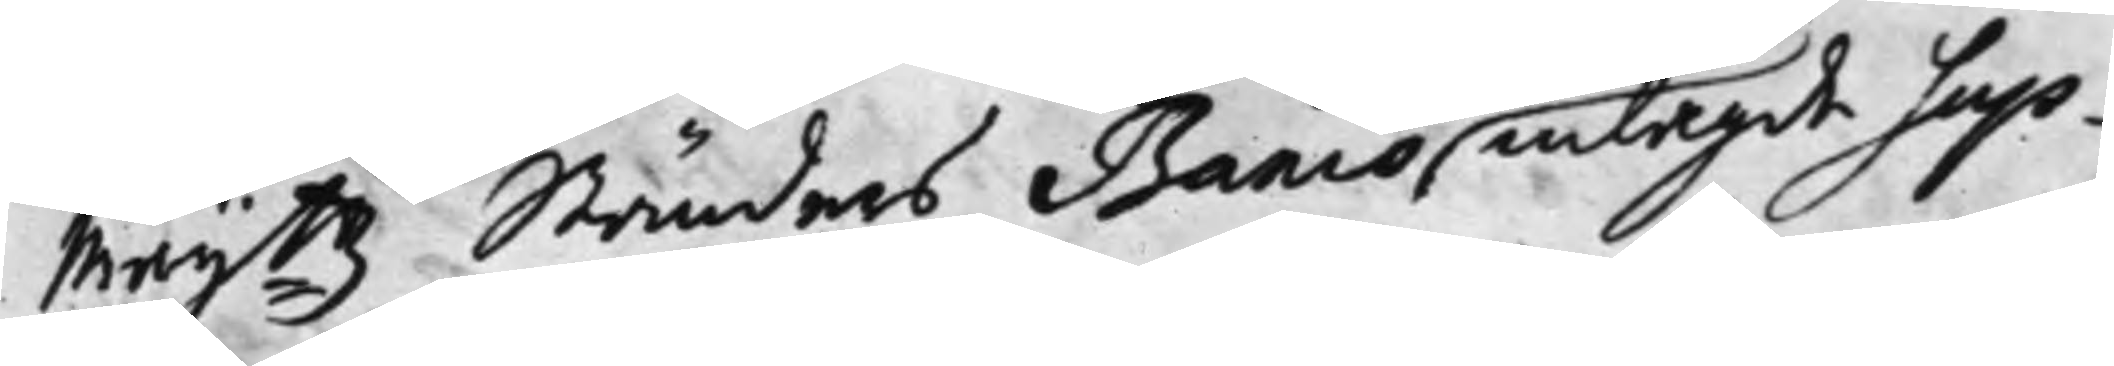Maij:tz Ständers Banco inlagde Sup¬
